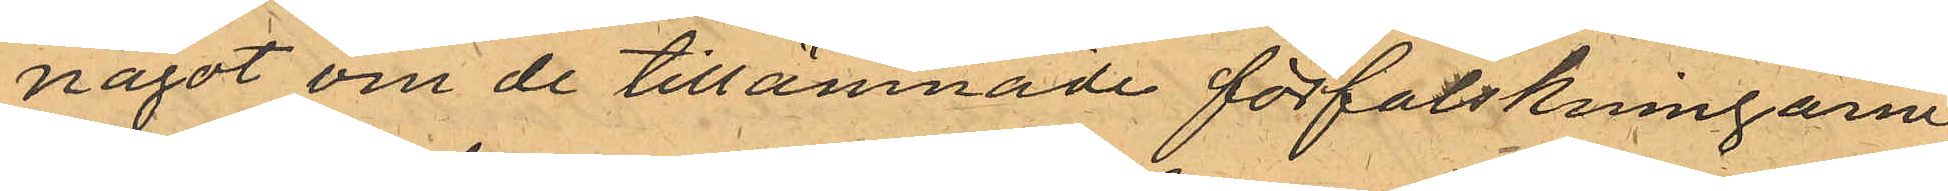något om de tillämnade förfalskningarne,
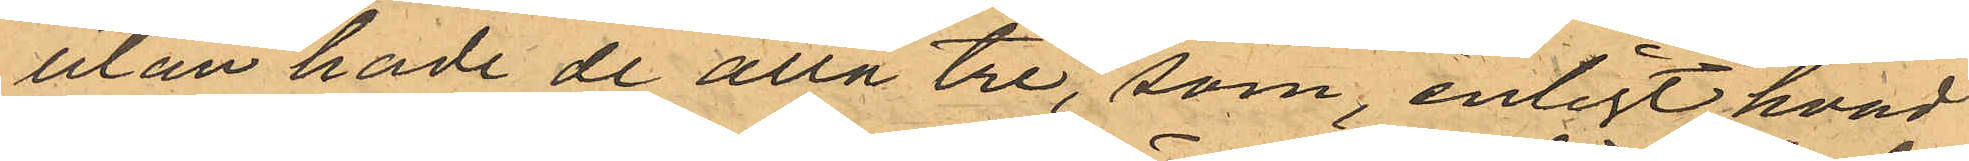utan hade de alla tre, som, enligt hvad
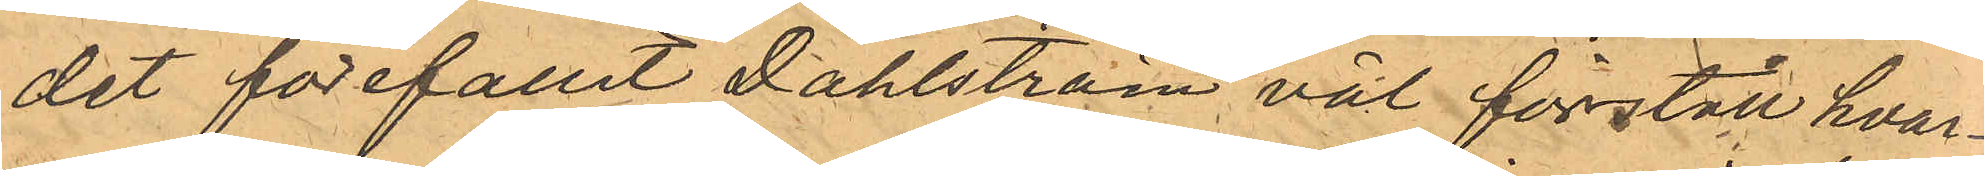det förefallit Dahlström väl förstått hvar¬
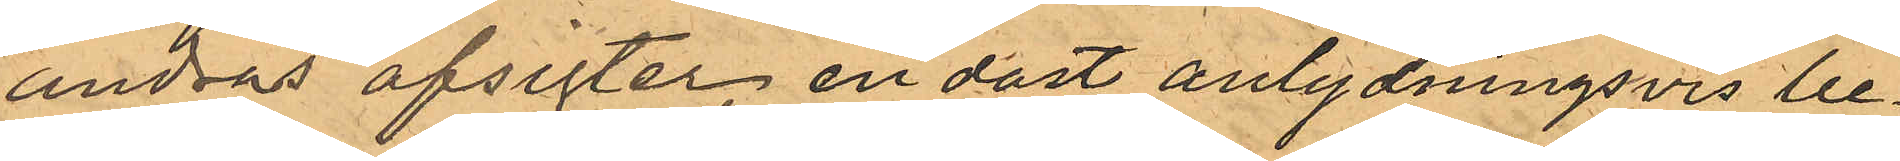andras afsigter, endast anlydningsvis be¬
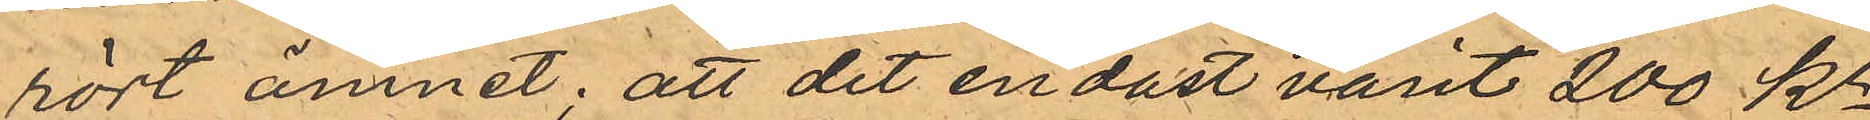rört ämnet; att det endast varit 200 Kr,
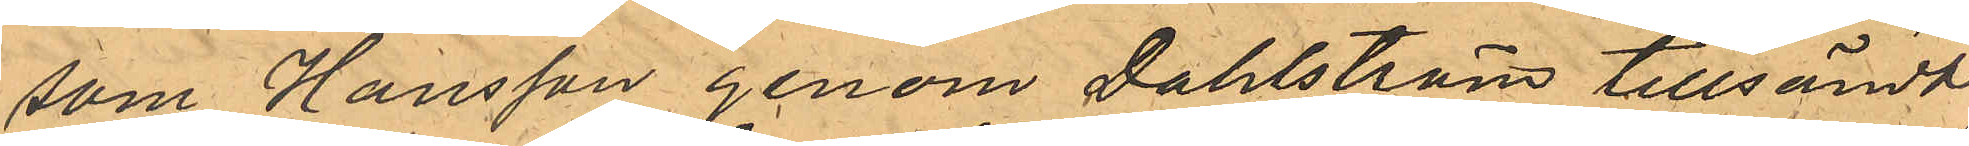som Hansson genom Dahlström tillsändt
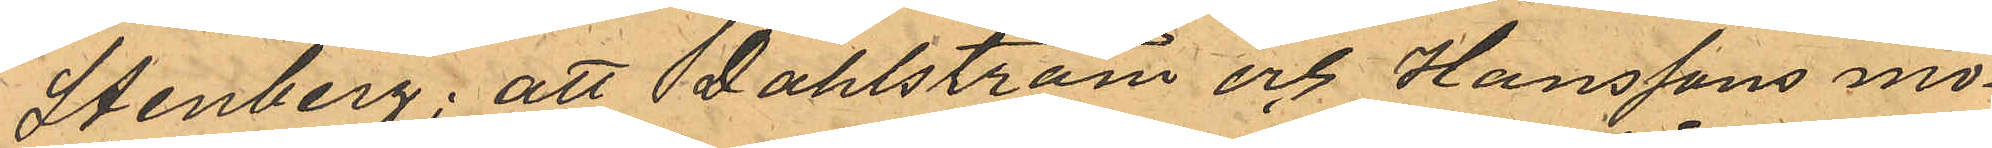Stenberg: att Dahlström och Hanssons mö¬
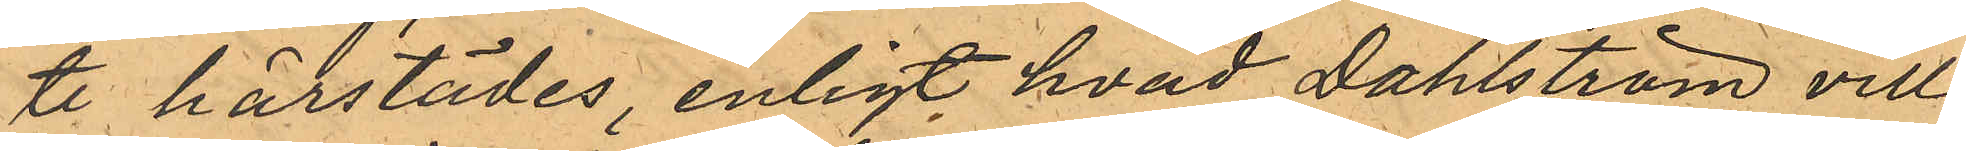te härstädes enligt hvad Dahlström ville
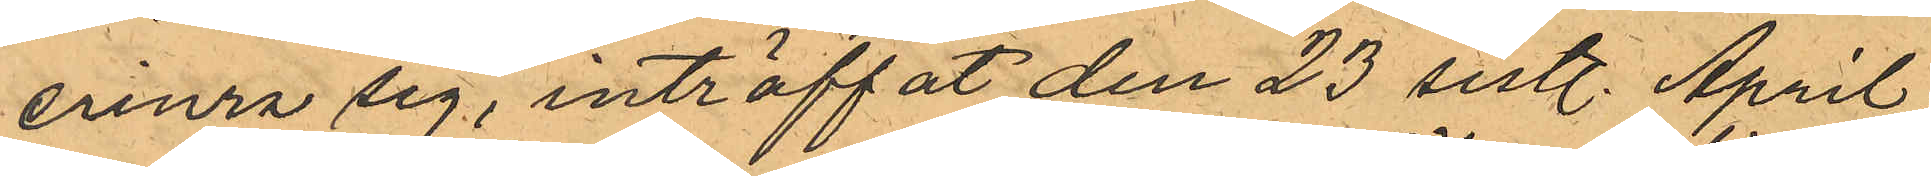erinra sig, inträffat den 23 sistl. April;
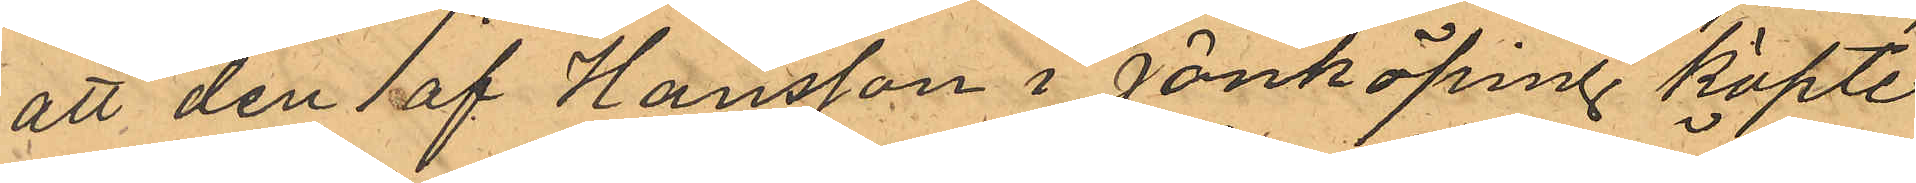att den af Hansson i Jönköping köpte
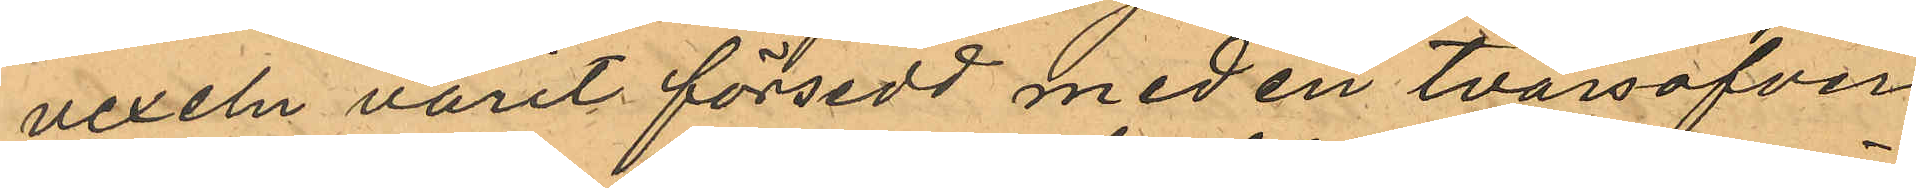vexeln varit försedd med en tvärsöfver¬
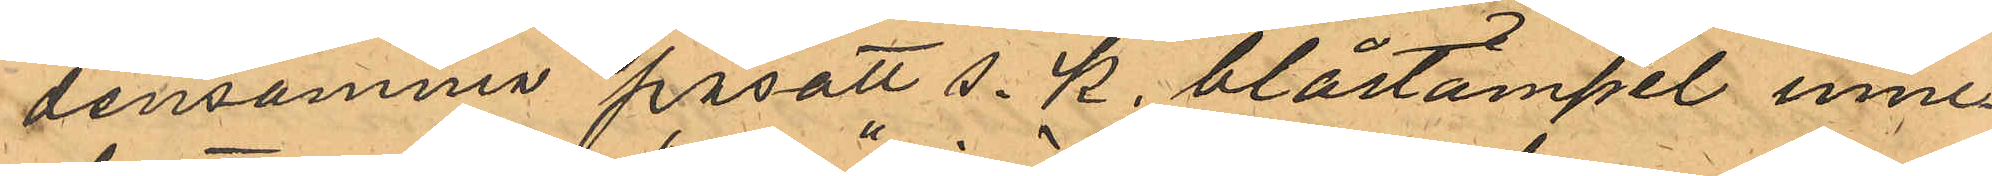densamma påsatt s. k. blåstämpel inne¬
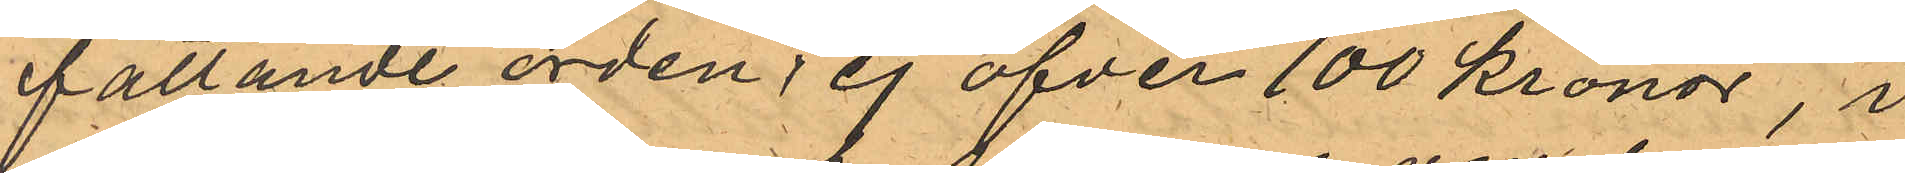fattande orden "ej öfver 100 Kronor", i
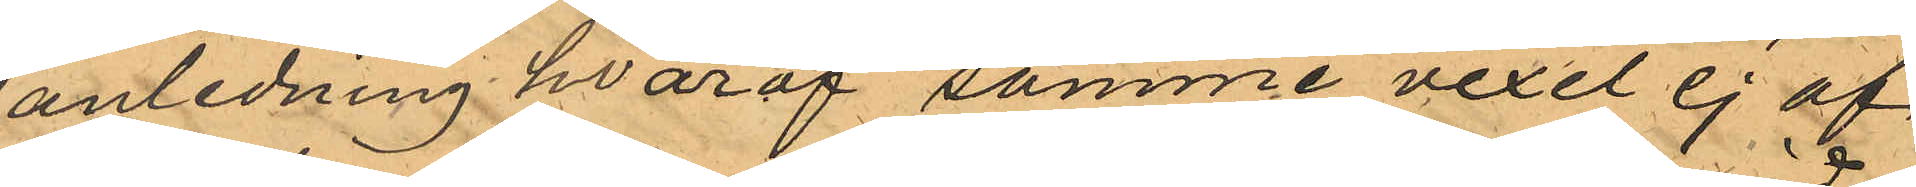anledning hvaraf samme vexel ej af
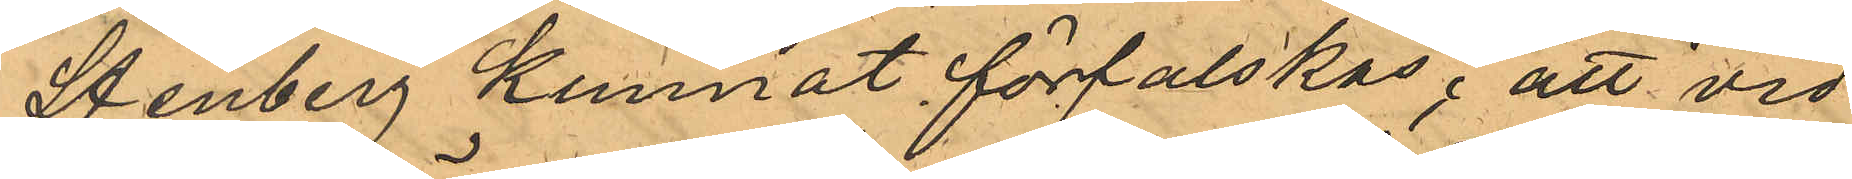Stenberg kunnat förfalskas; att vid
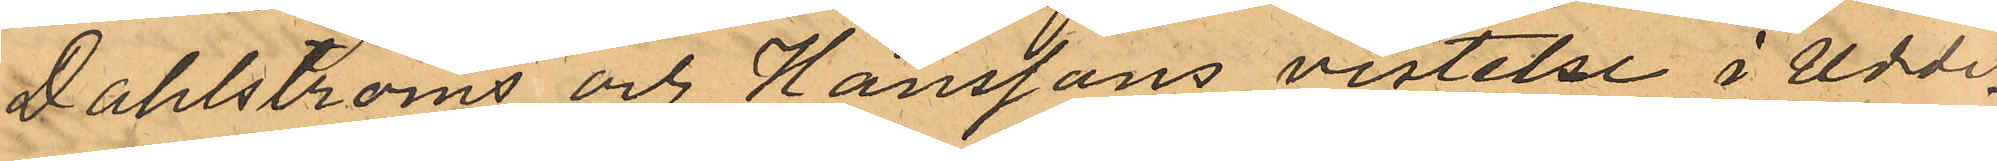Dahlströms och Hanssons vistelse i Udde¬
